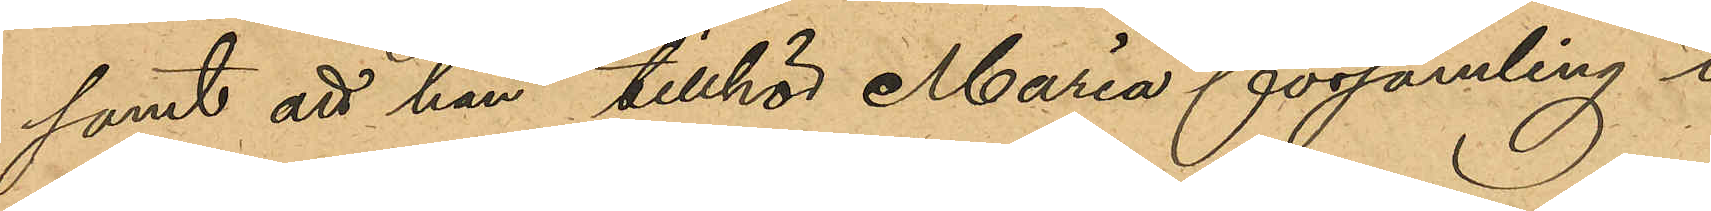samt att han tillhör Maria församling i
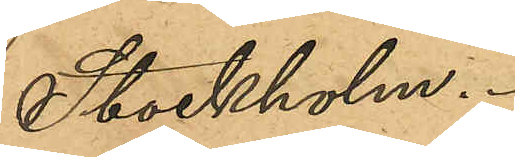Stockholm.
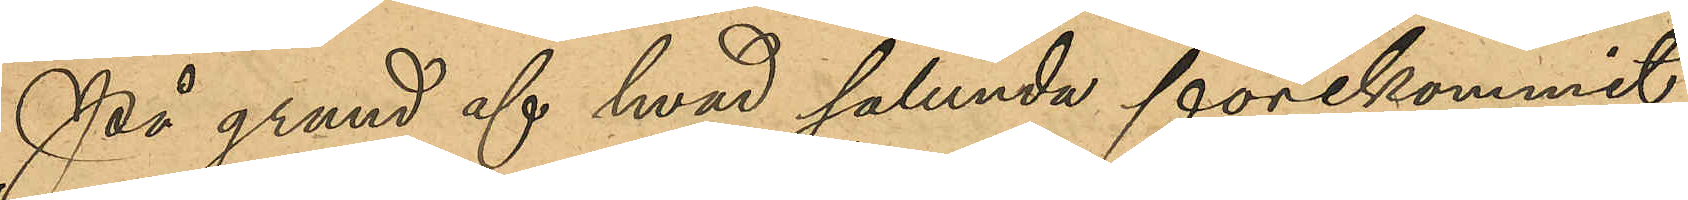På grund af hvad sålunda förekommit
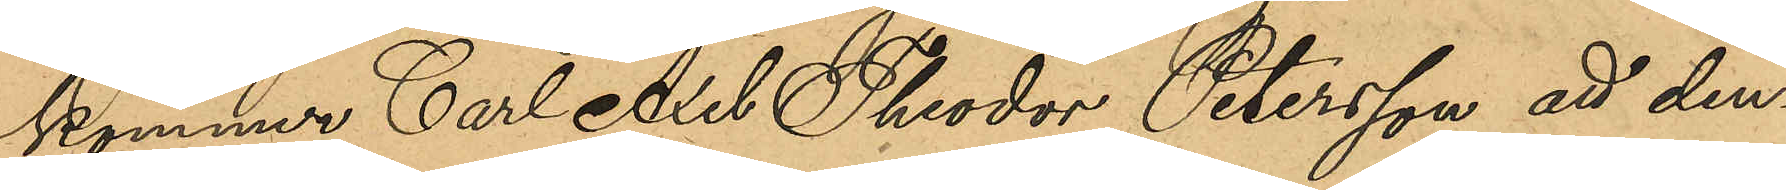kommer Carl Axel Theodor Petersson att den¬
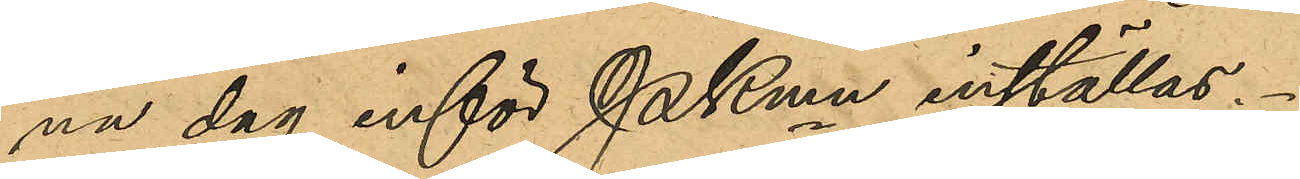na dag inför Pkmn inställas.
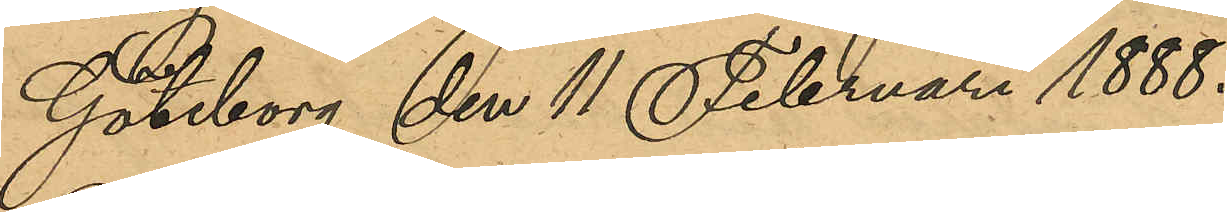Göteborg den 11 Februari 1888.
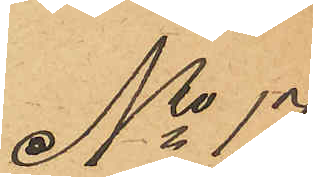No 17
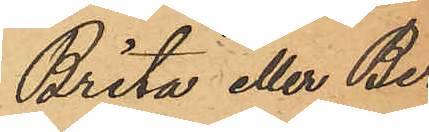Brita eller Ber¬
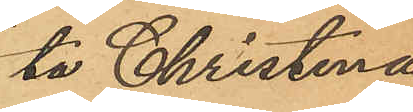ta Christina
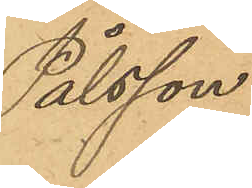Pålsson.
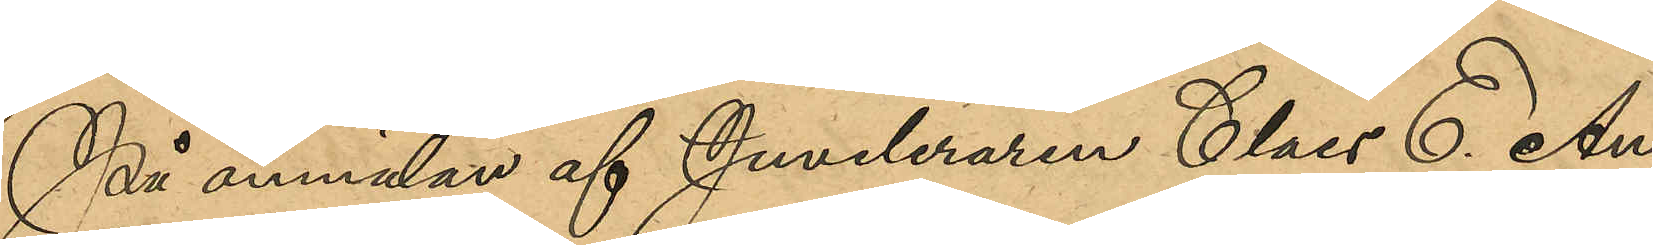På anmälan af Juveleraren Claes E. An¬
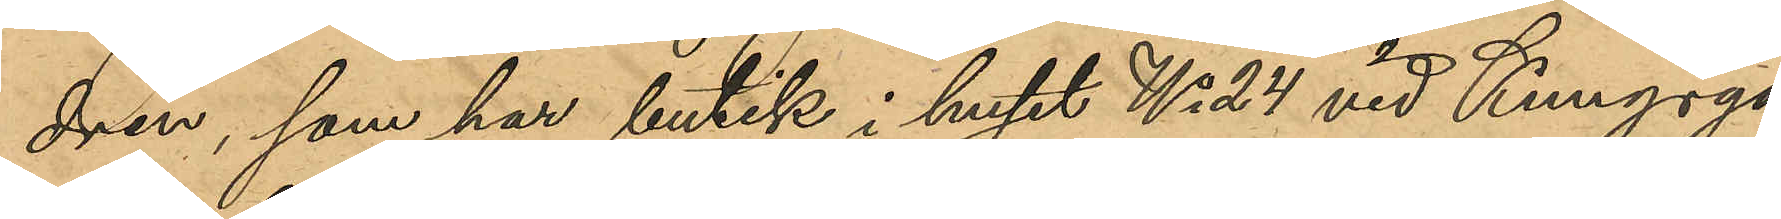drén, som har butik i huset No 24 vid Kungsga¬
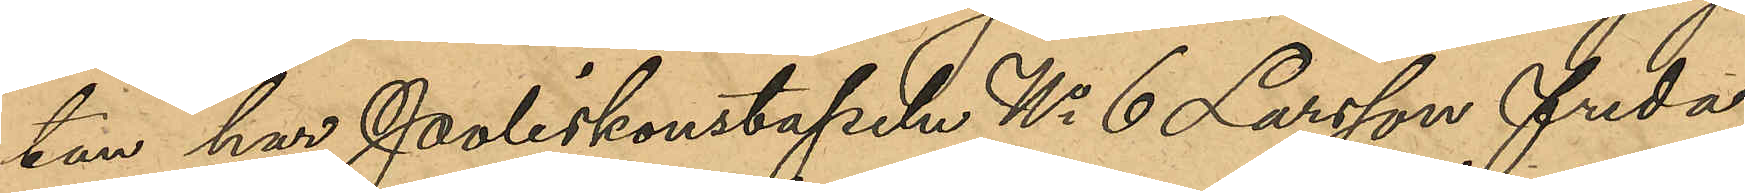tan har Poliskonstapeln No 6 Larsson freda¬
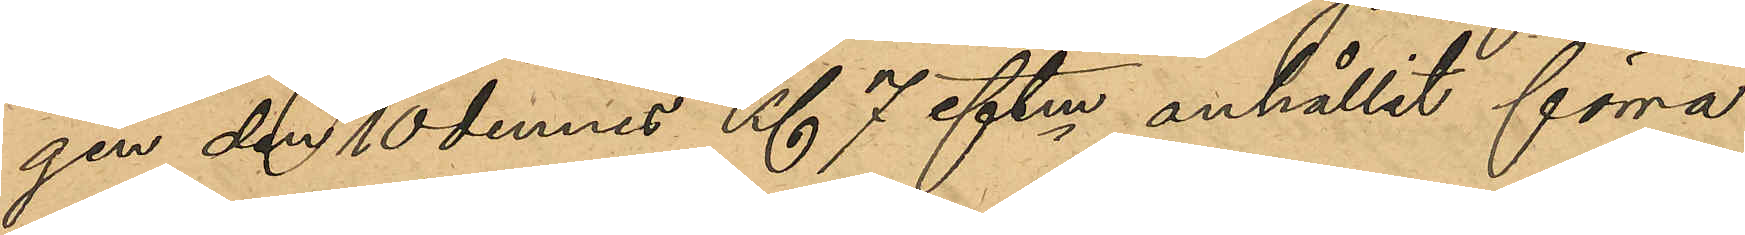gen den 10 dennes Kl 7 eftm anhållit förra
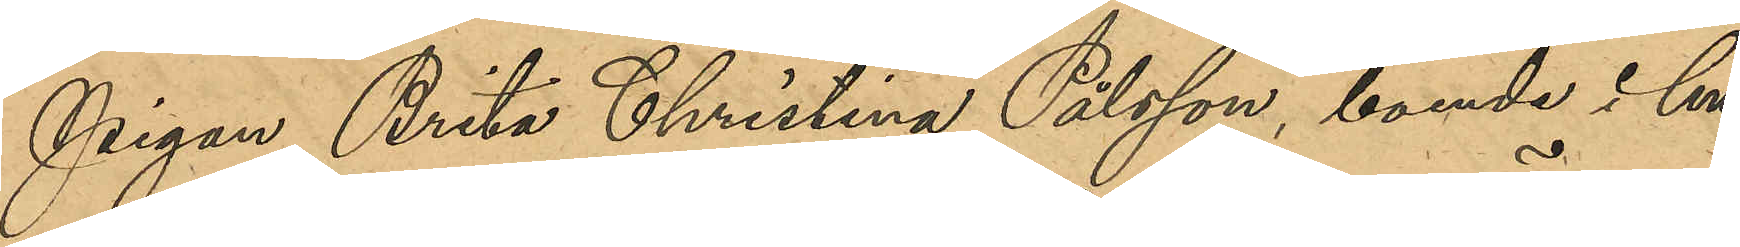Pigan Brita Christina Pålsson, boende i hu¬
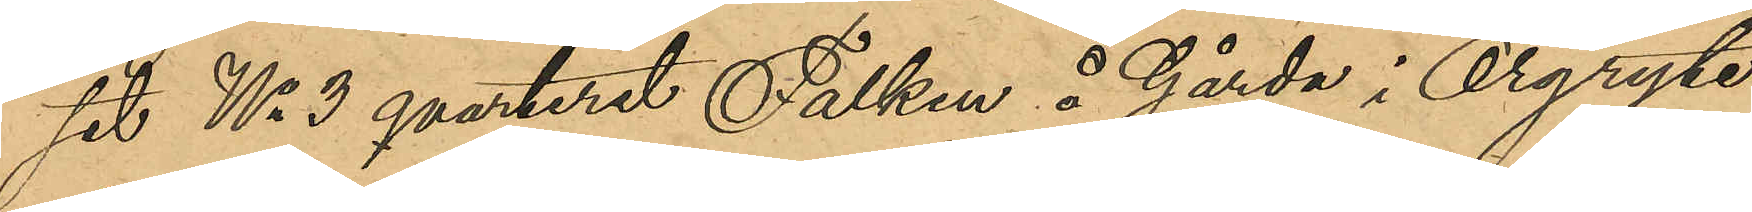set No 3 qvarteret Falken å Gårda i Örgryte
